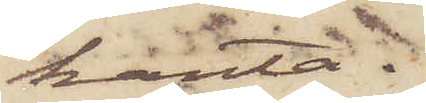kanta.
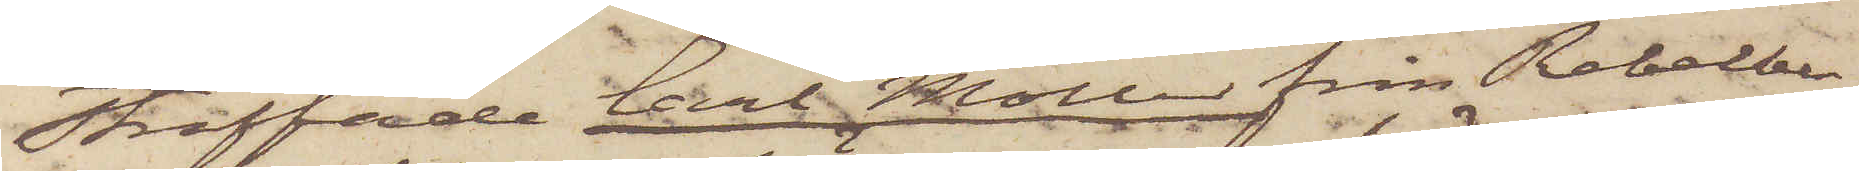Straffade Carl Möller från Rebelber¬
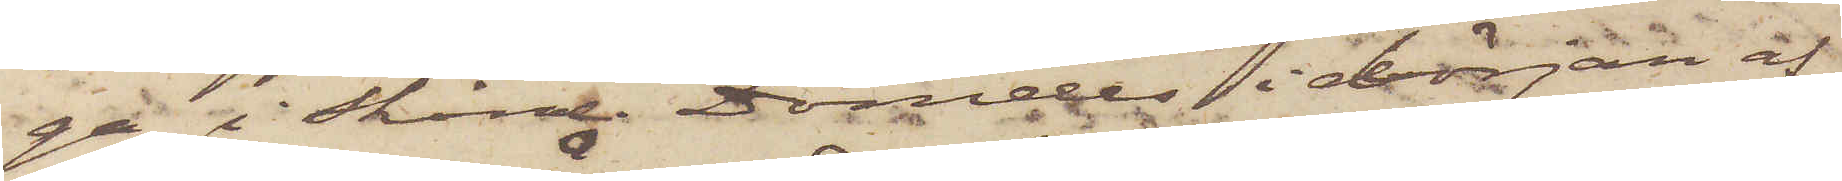ga i Skåne. Dömdes i början af
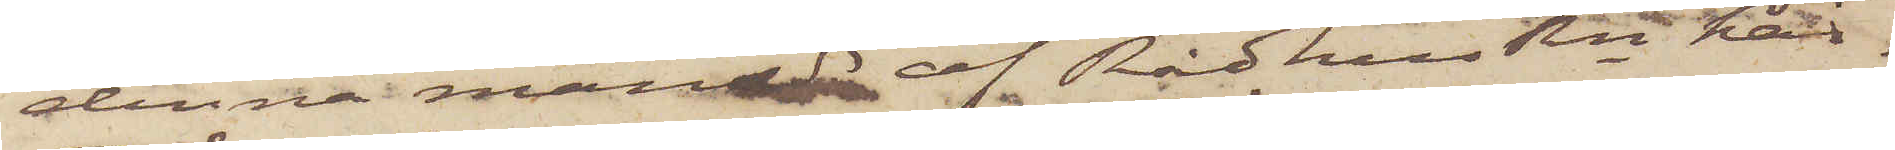denna månad af RådhusRn här¬
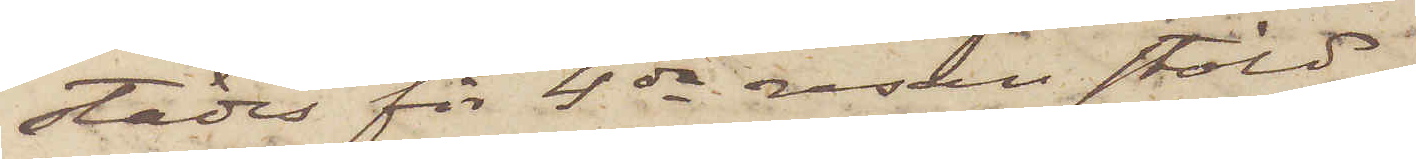städes för 4de resan stöld.
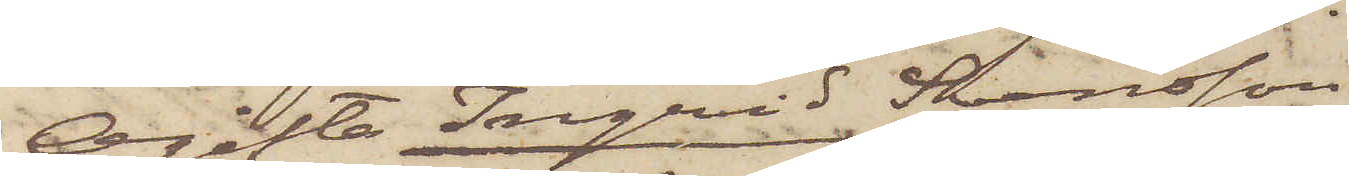Ogifta Ingrid Svensson
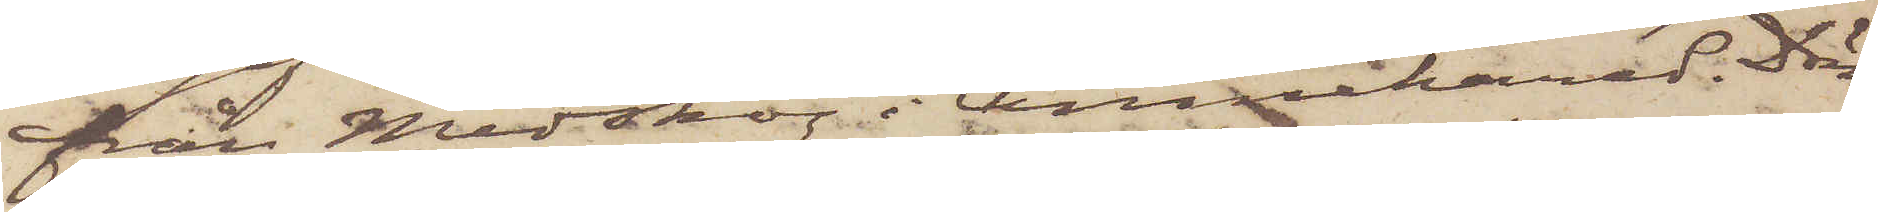från Medskog i Amnehärad. Döm¬
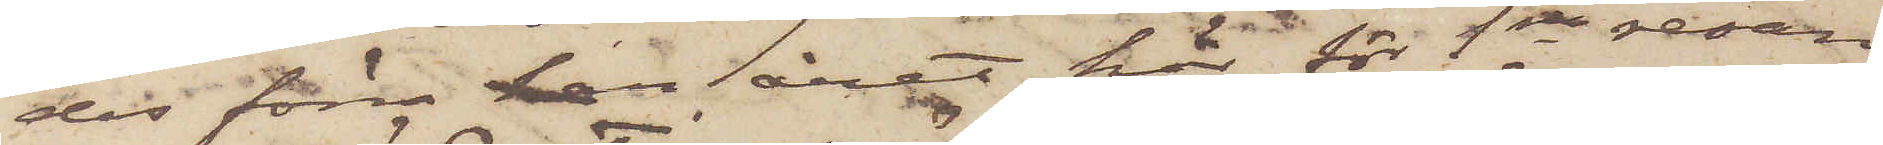des förra han året här för 1sta resan
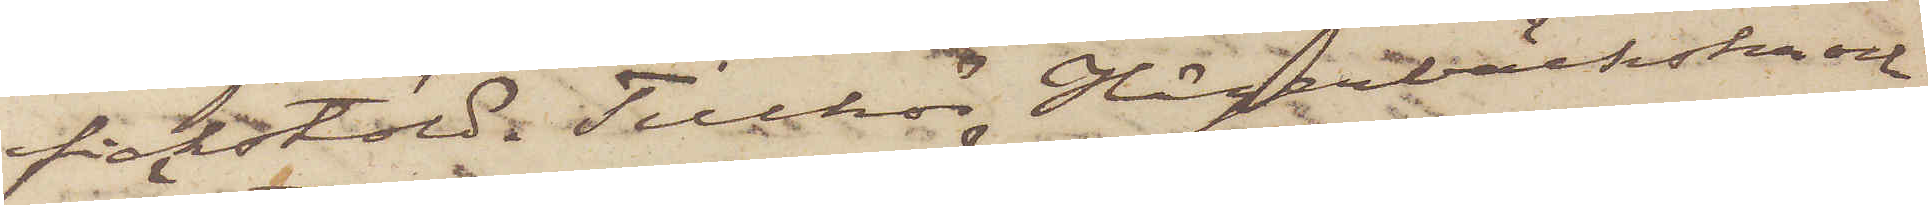fickstöld. Tillhör Hägerbäckska och
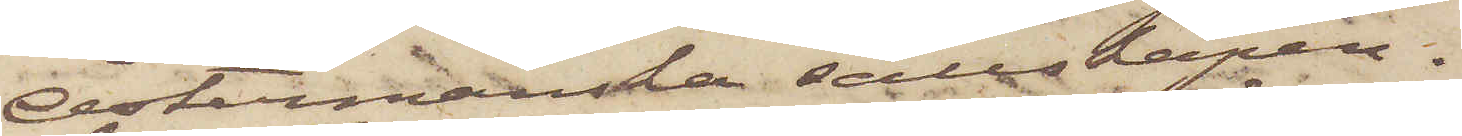Östermanska sällskapen.
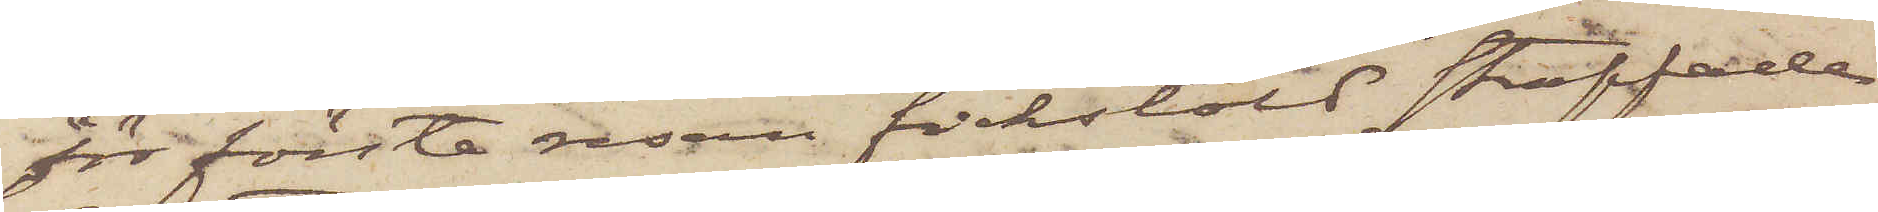För första resan fickstöld straffade
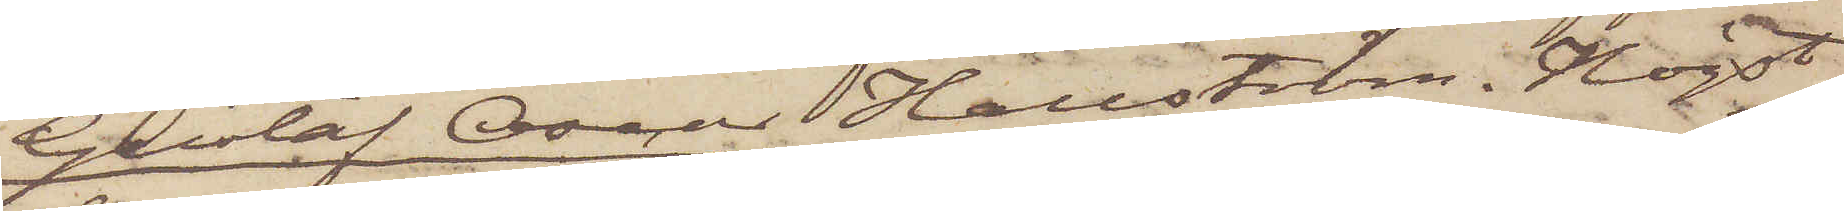Gustaf Oscar Hallström. Högst
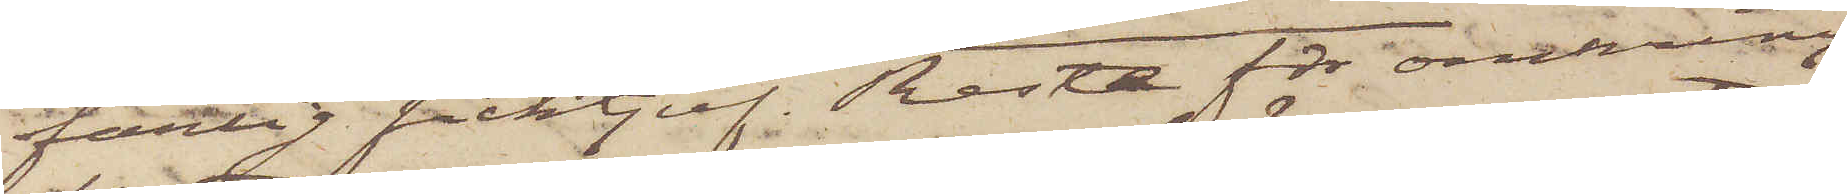farlig ficktjuf. Reste för omkring
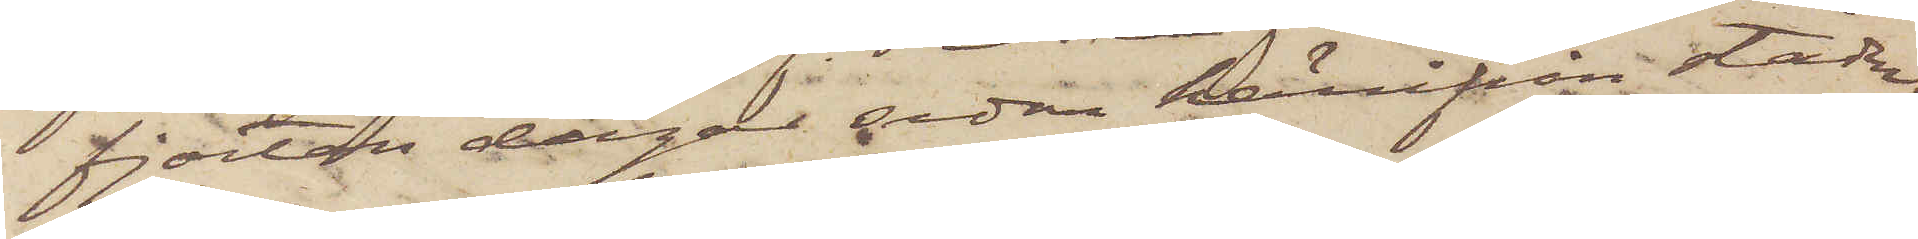fjorton dagar sedan härifrån staden;
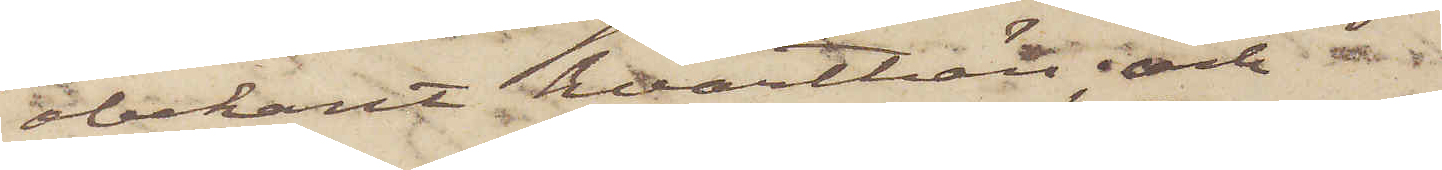obekant hvarthän; och
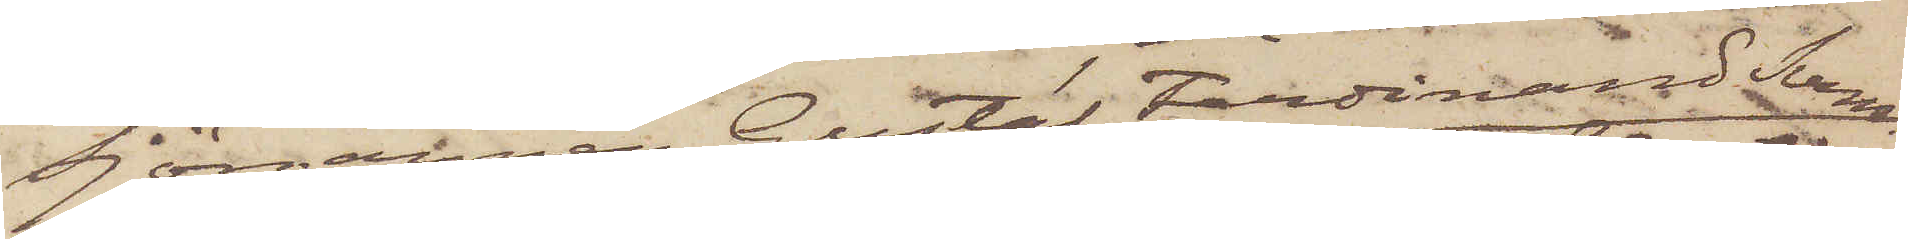Sjömannen Gustaf Ferdinand Sven¬
